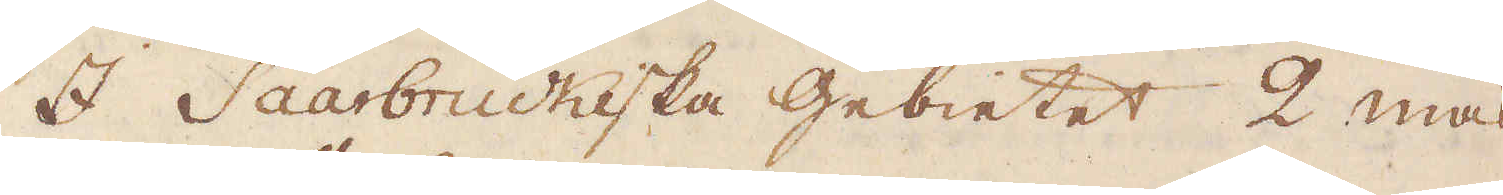I Saarbruckiska Gebietet 2 mas-
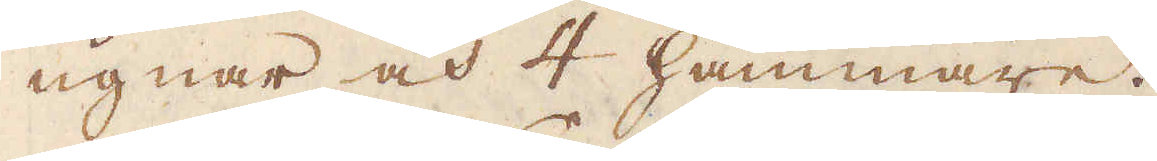ugnar och 4 hammare.
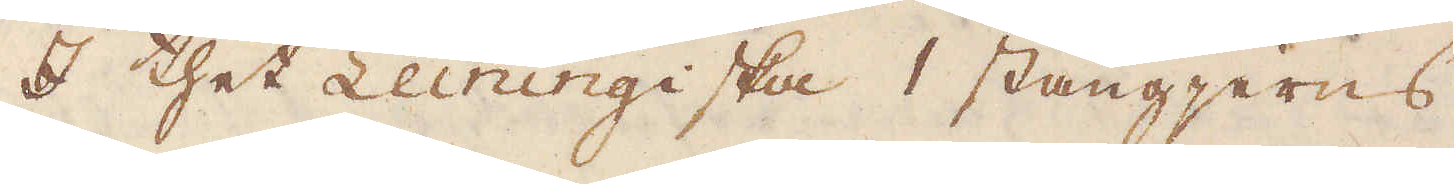I thet Leiningiska 1 stångjerns
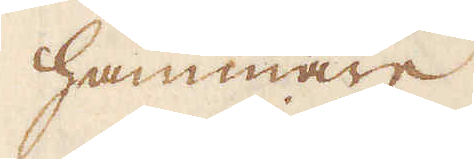hammare.
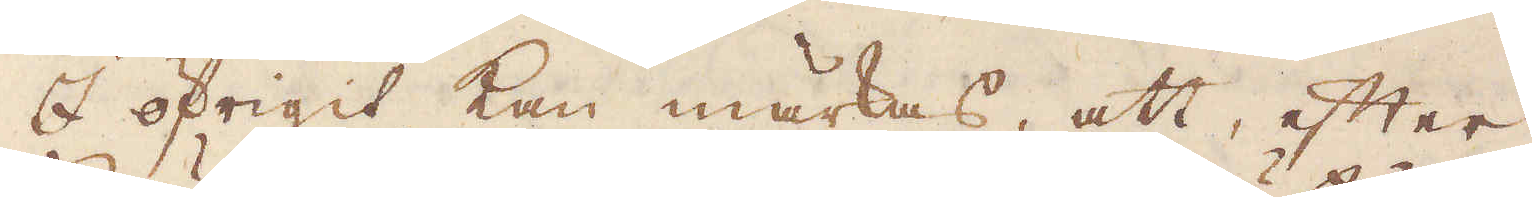I öfrigit kan märkas, att, efter
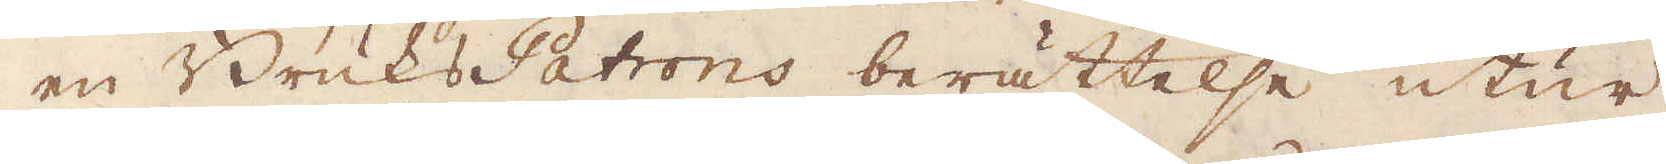en Bruks Patrons berättelse utur
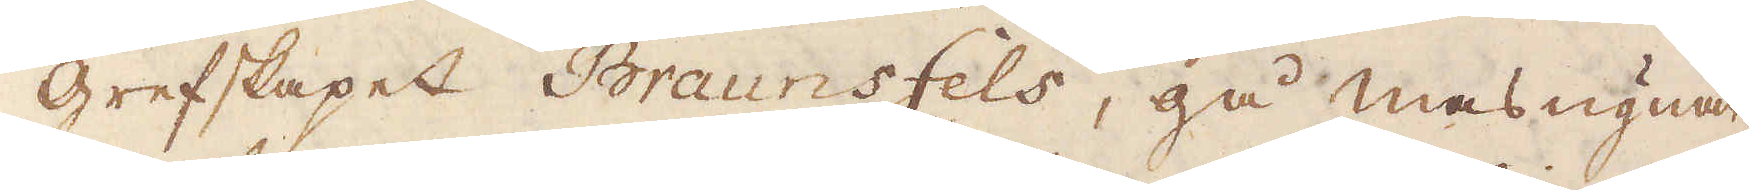grefskapet Braunsfels, gå masugnar-
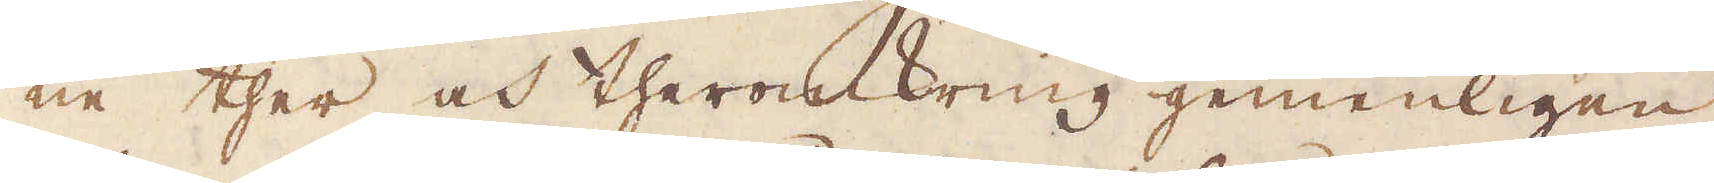ne ther och theromkring gemenligen
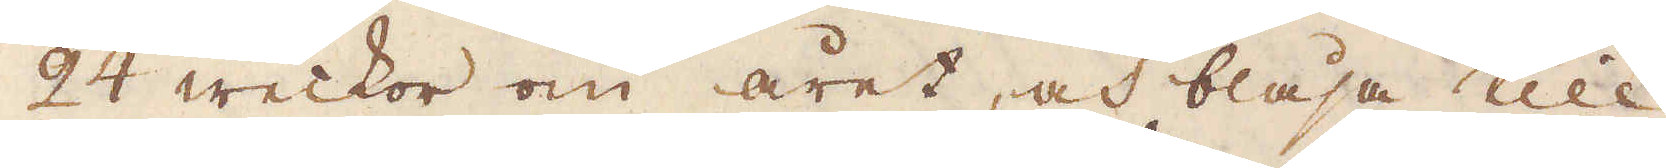24 weckor om året, och blåsa till
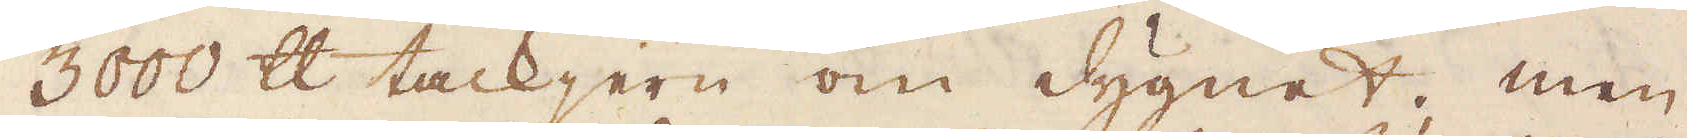3000 skålpund tackjern om dygnet; men
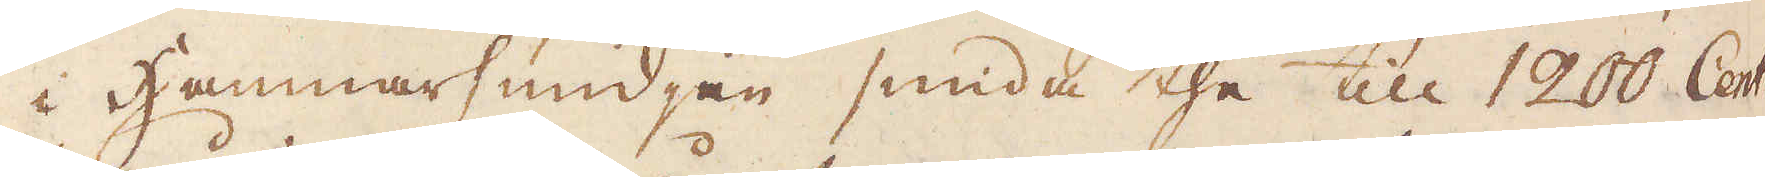i Hammarsmidjan smida the till 1200 Cent:r
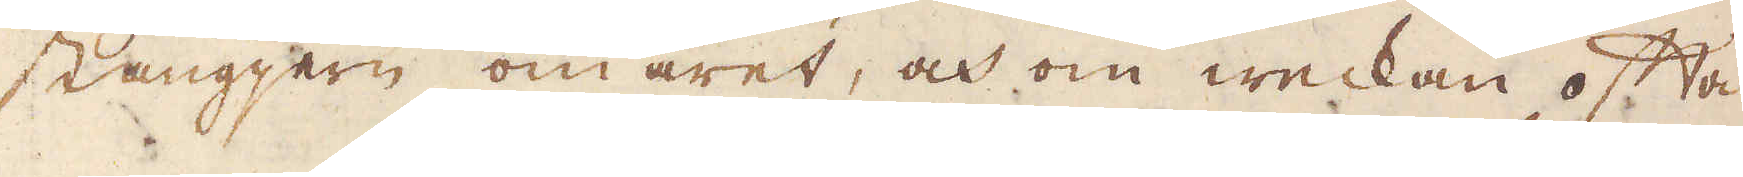stångjern om året, och om weckan ofta
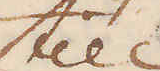till
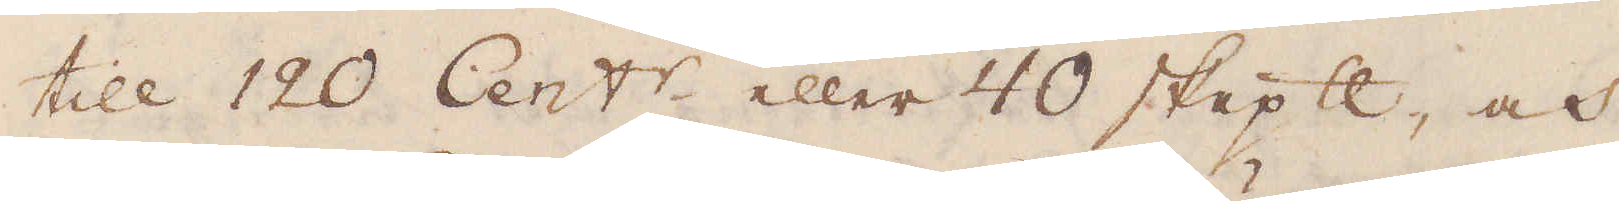till 120 Cent:r eller 40 skeppund, och
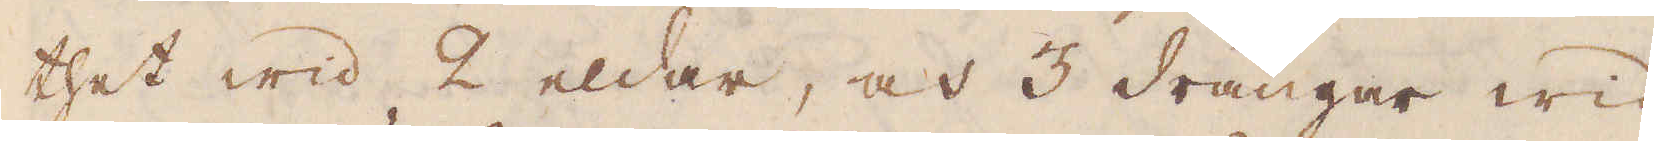thet wid 2 eldar, och 3 drängar wid
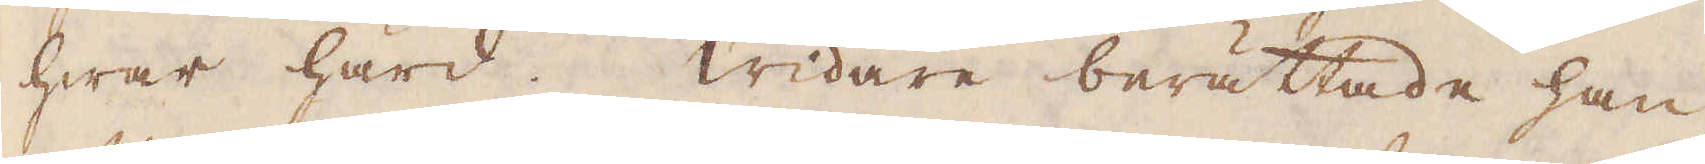hwar härd. Widare berättade han,
